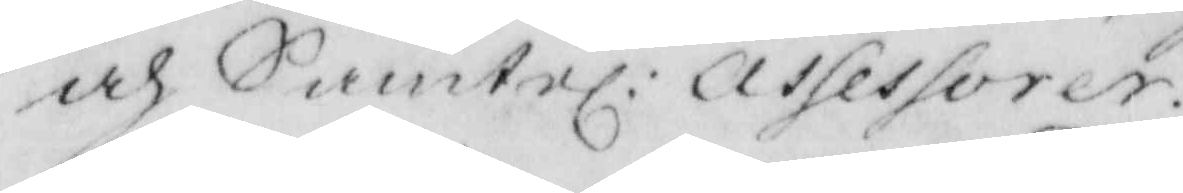och Samtel: assesorer.
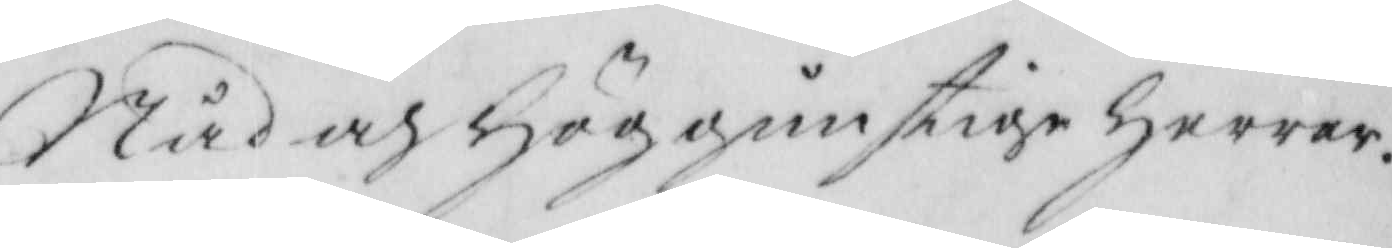Nåd och Höggunstige Herrar.
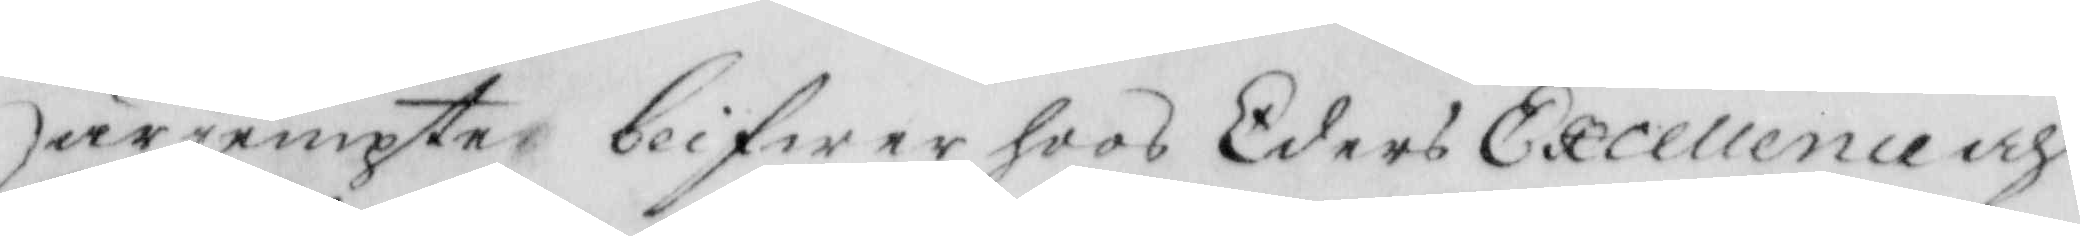Härjempte blifwer hoos Eders Excellence och
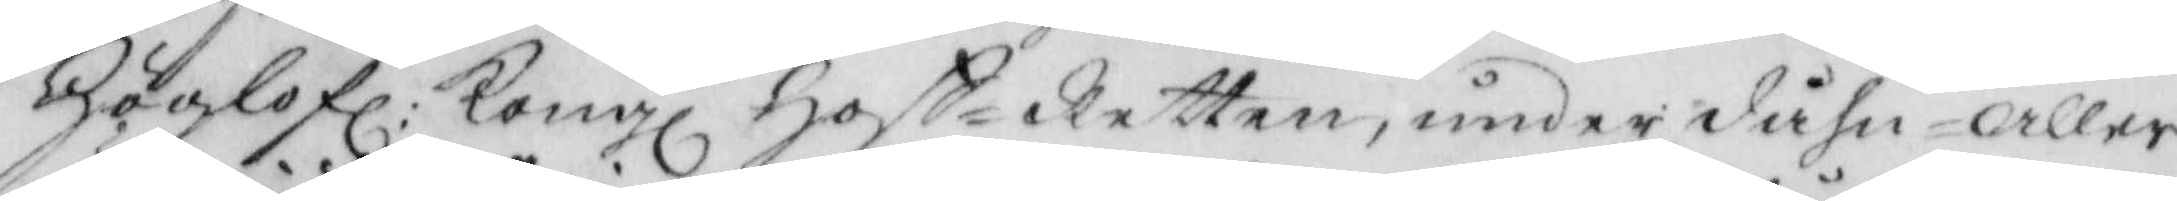Höglofl: Kongl Hoff-Rätten, underdåhn - aller
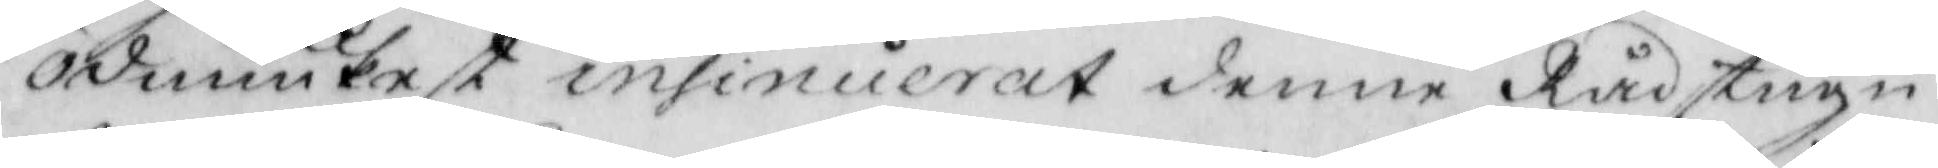ödmiukest insinuerat denne Rådstugu¬
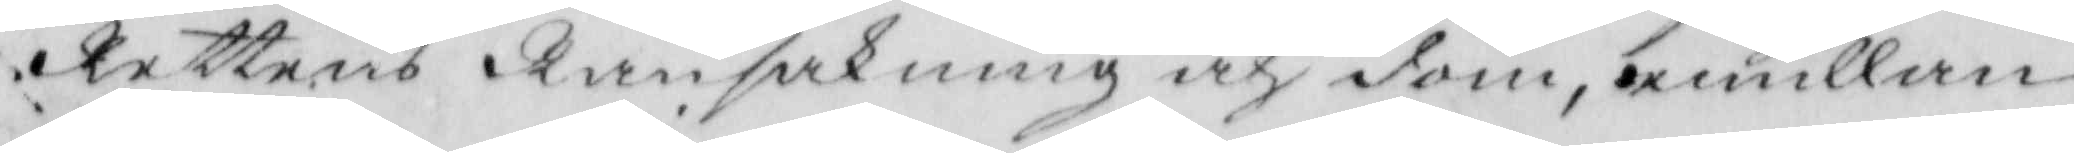Rettens Ransakning och dom, emillan
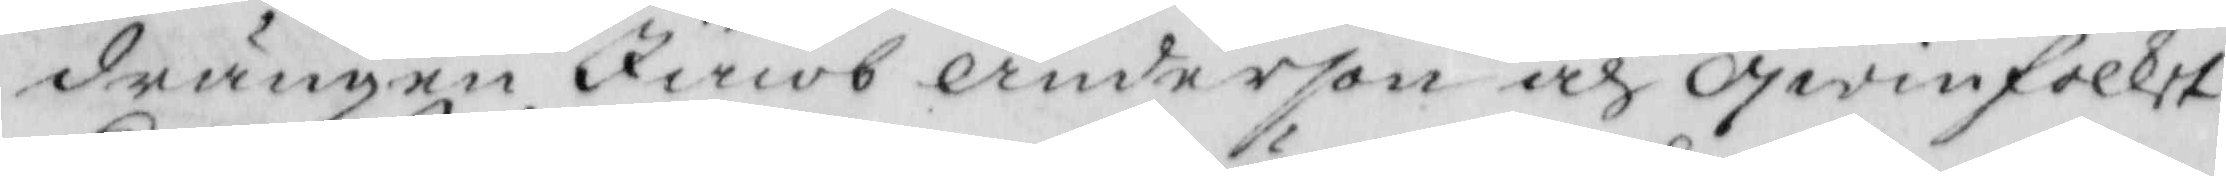drängen Jacob Anderson och qwinfolket
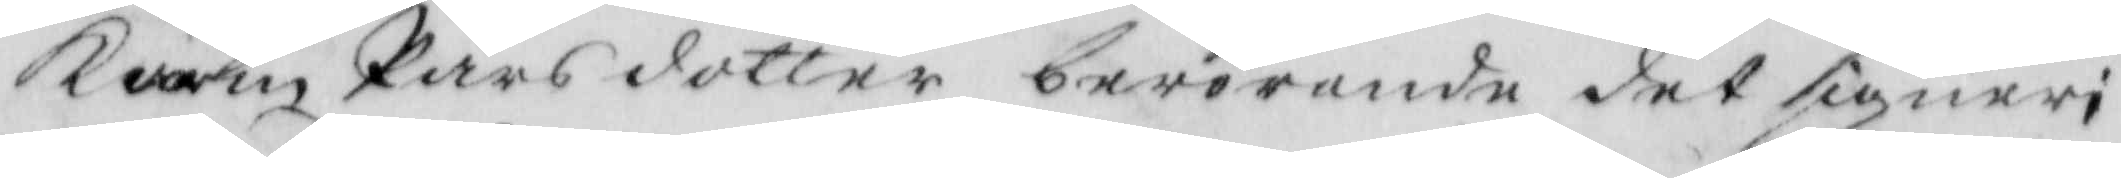Karin Pärsdotter, berörande det signeri
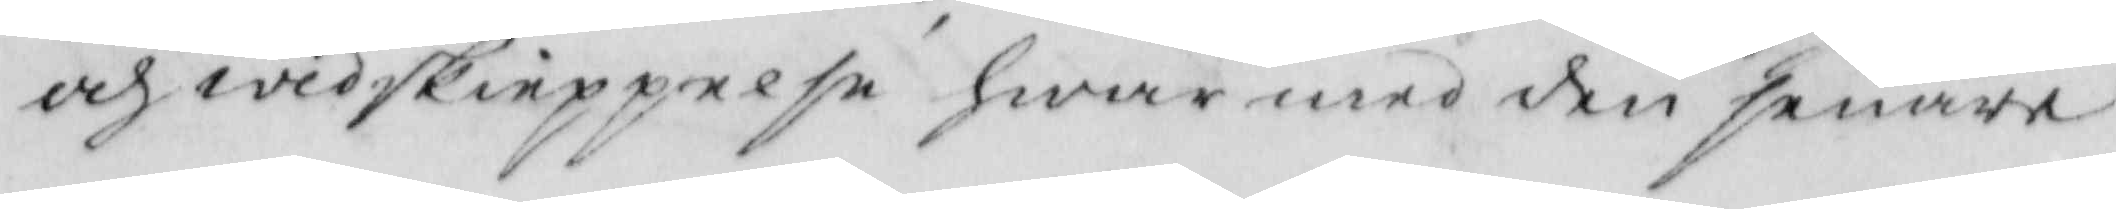och widskieppelse hwar med den senare
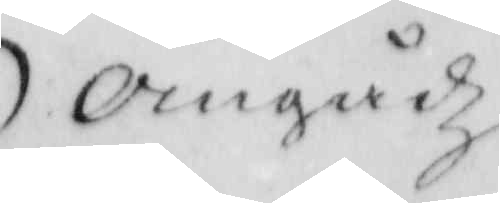omgådz
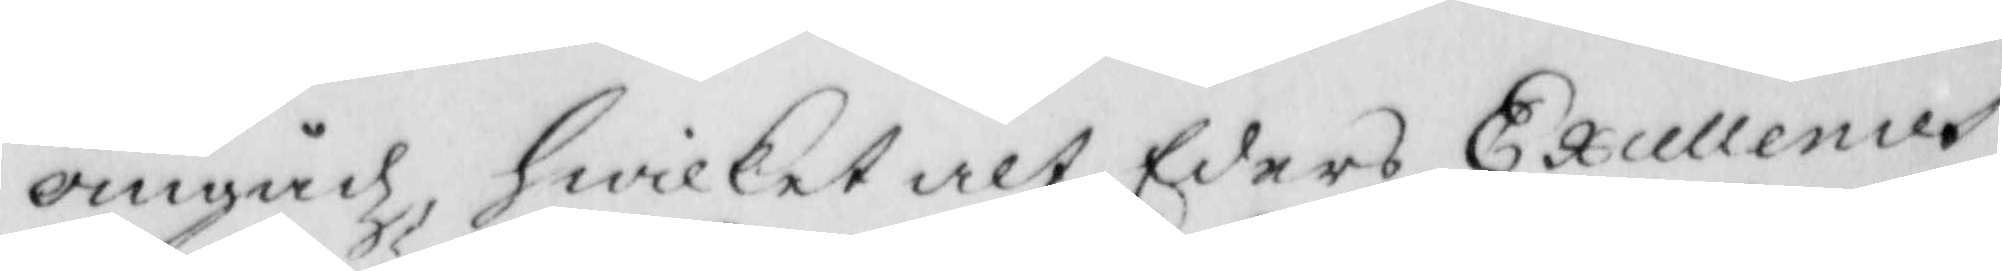omgådz hwilket alt Eders Excellences
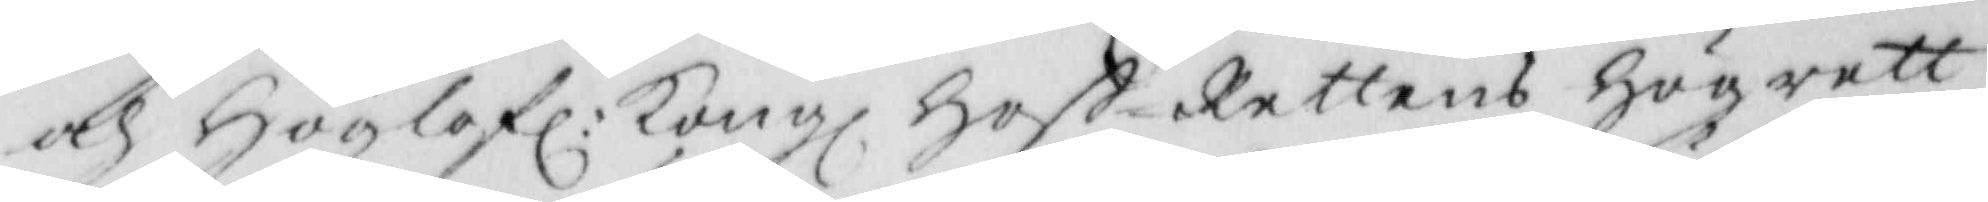och Höglofl: Kongl Hoff-Rettens Högrett¬
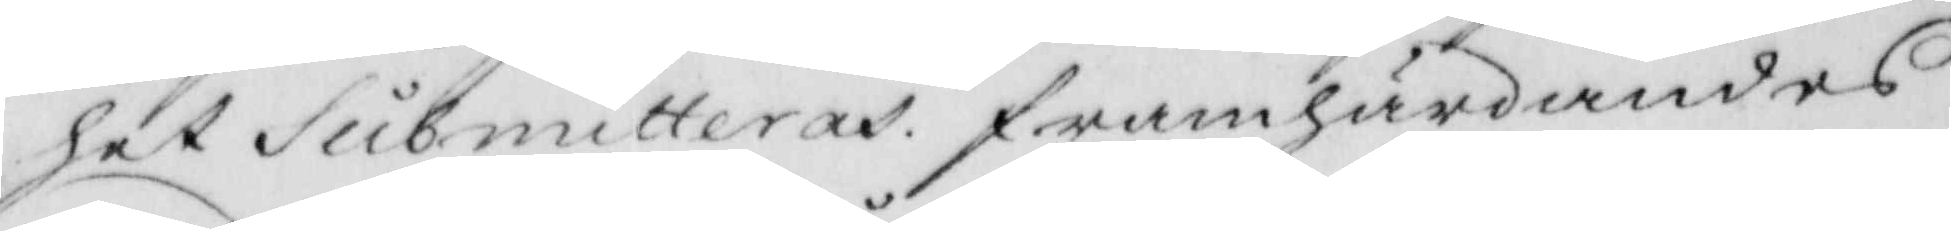het Submitteras framhärdandes
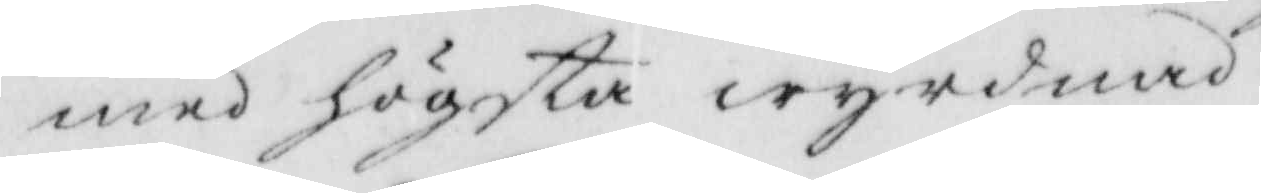med högsta wyrdnad.
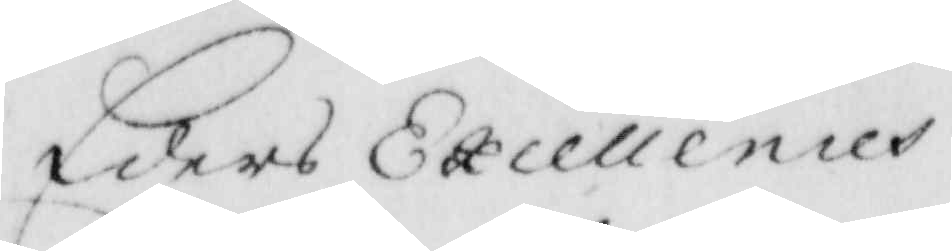Eders Excellences
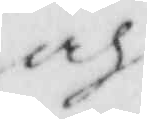och
